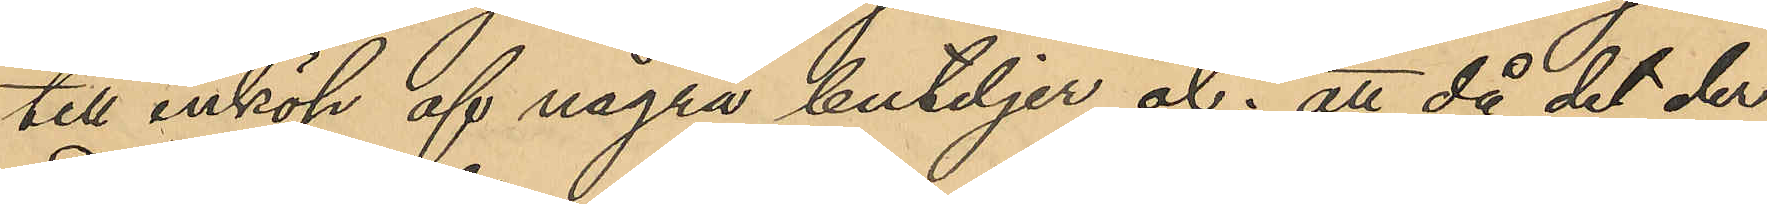till inköp af några buteljer öl; att då det der¬
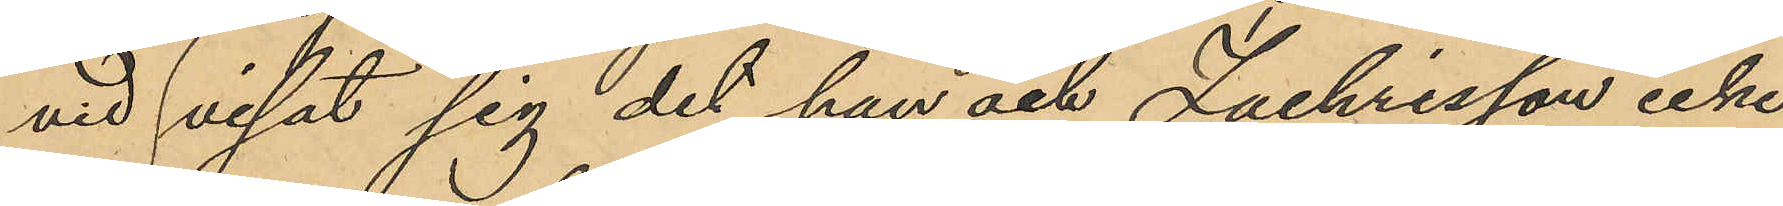vid visat sig det han och Zachrisson icke
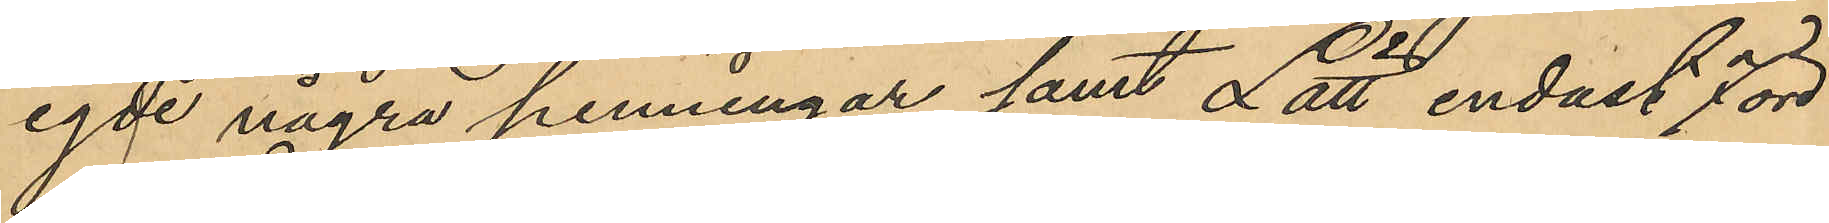egde några penningar samt Lätt endast 7 öre
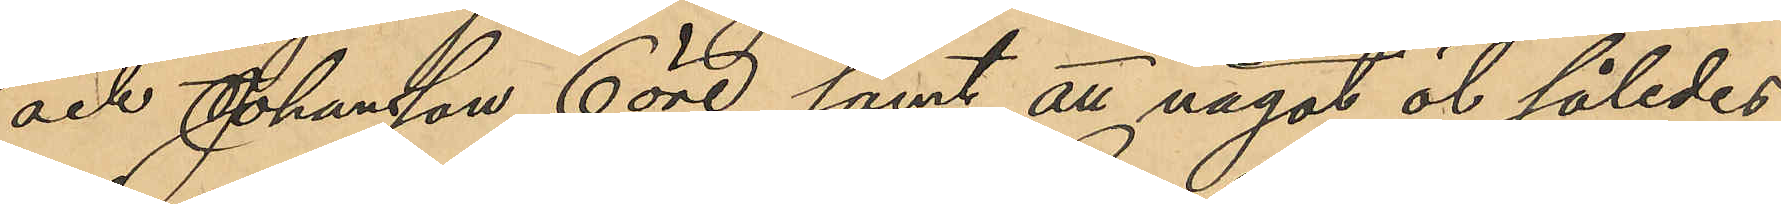och Johansson 6 öre samt att något öl således
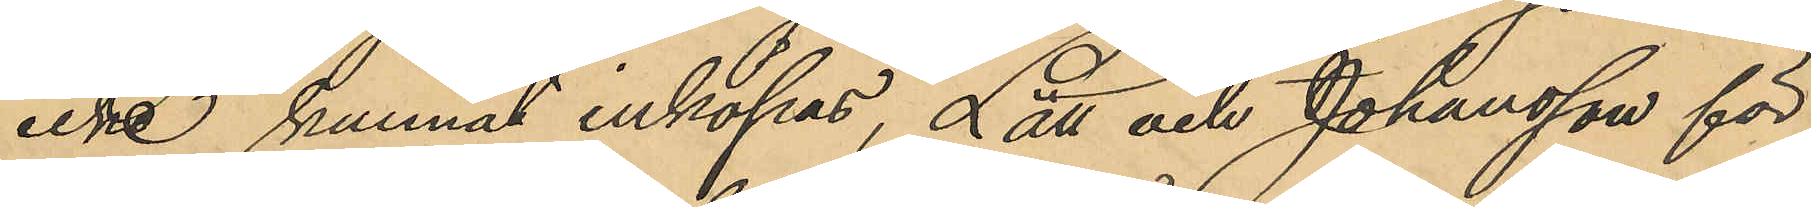icke kunnat inköpas, Lätt och Johansson för
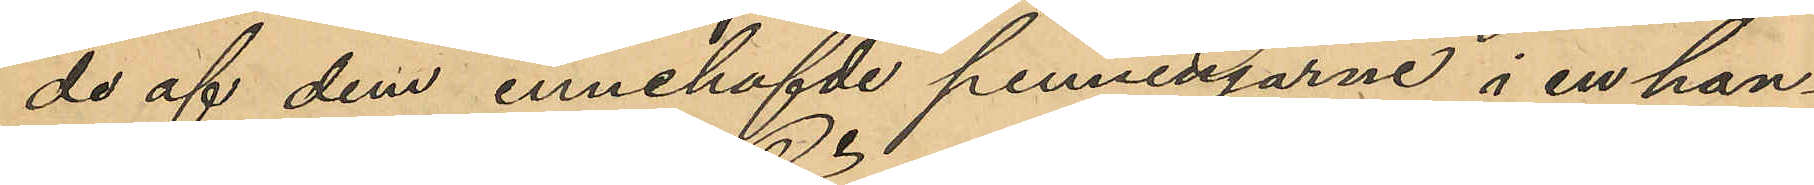de af dem innehafde penningarne i en han¬
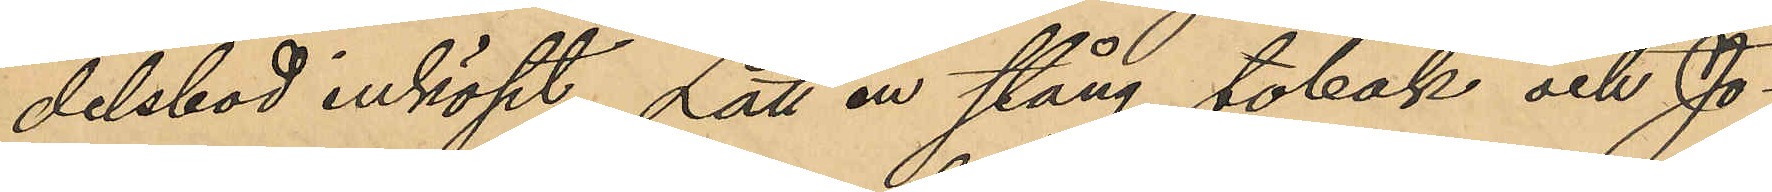delsbod inköpt Lätt en stång tobak och Jo¬
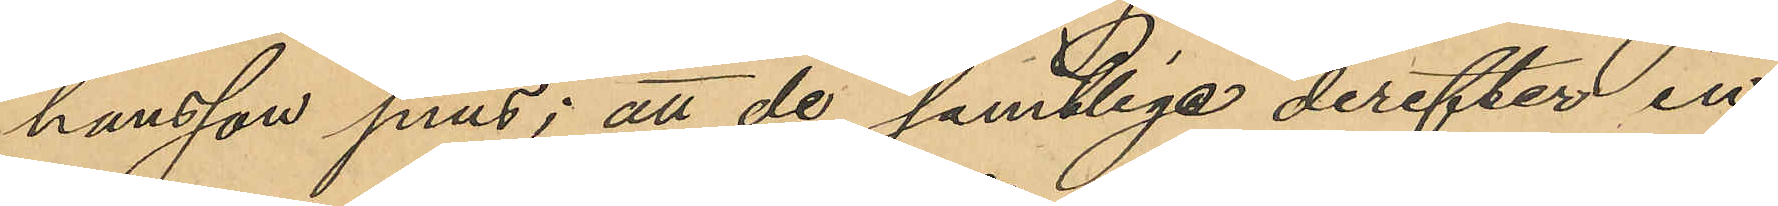hansson snus; att de samtlige derefter in¬
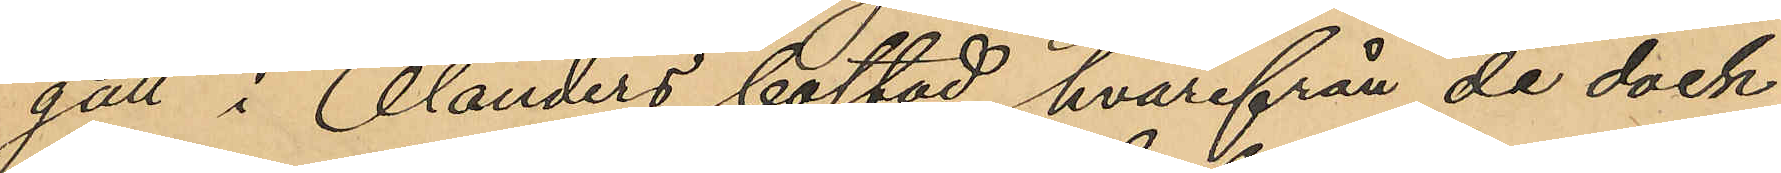gått i Olanders bostad, hvarifrån de dock
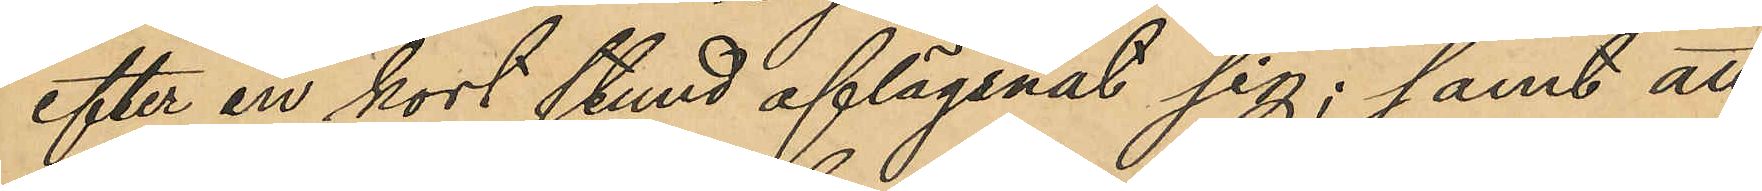efter en kort stund aflägsnat sig; samt att
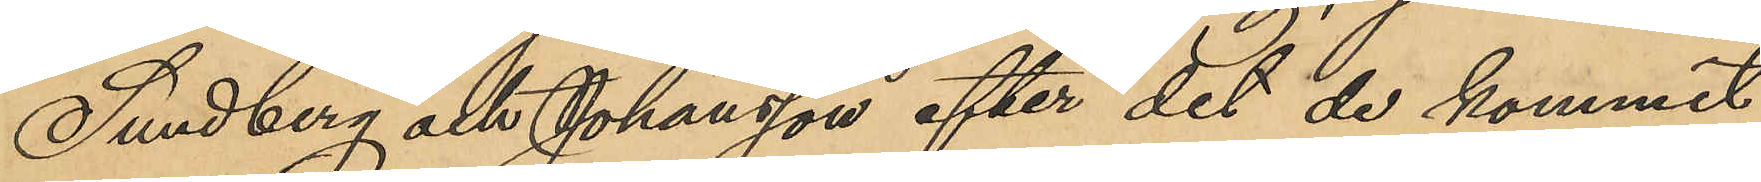Sundberg och Johansson efter det de kommit
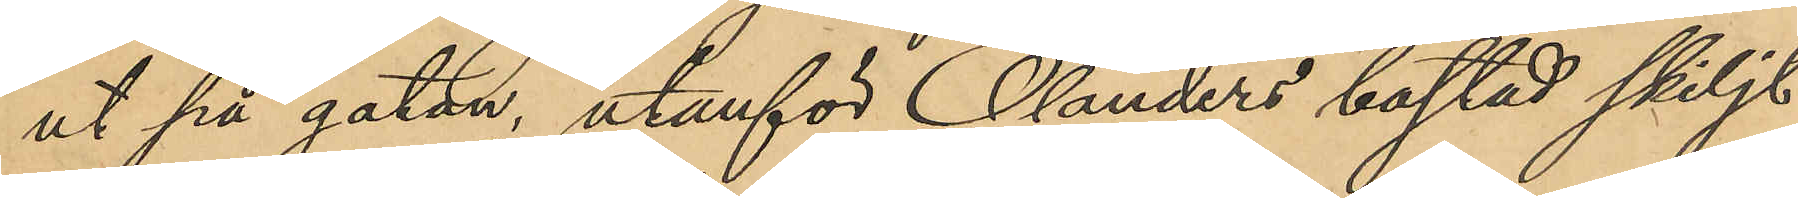ut på gatan, utanför Ölanders bostad skiljt
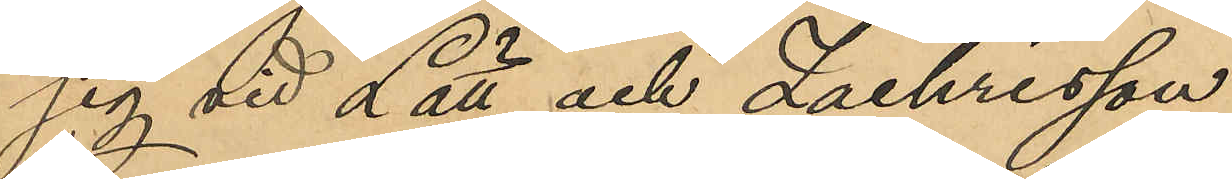sig vid Lätt och Zachrisson
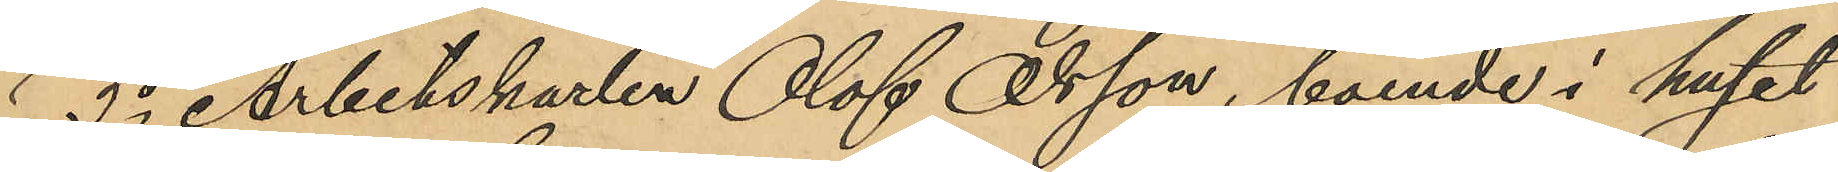3o Arbetskarlen Olof Olsson, boende i huset
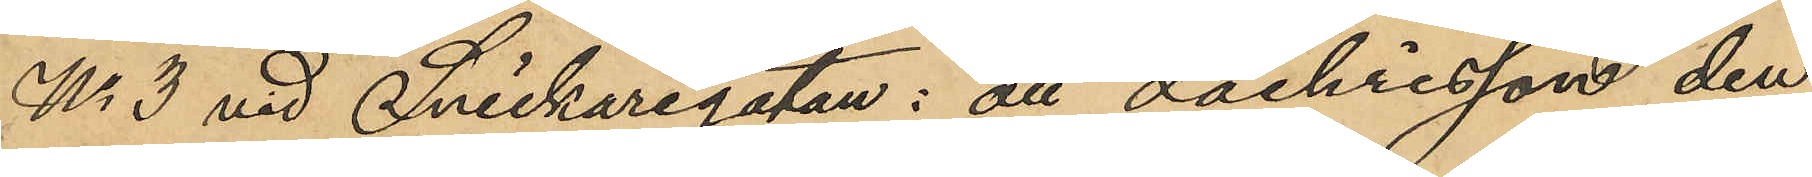No 3 vid Snickaregatan: att Zachrisson den
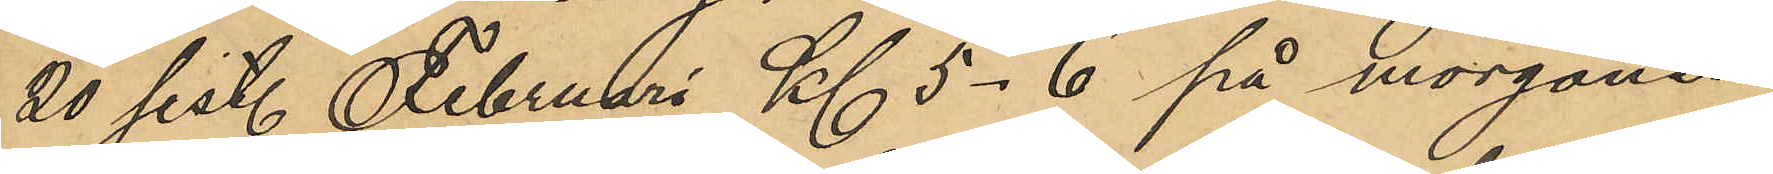20 sist. Februari Kl 5-6 på morgonen
